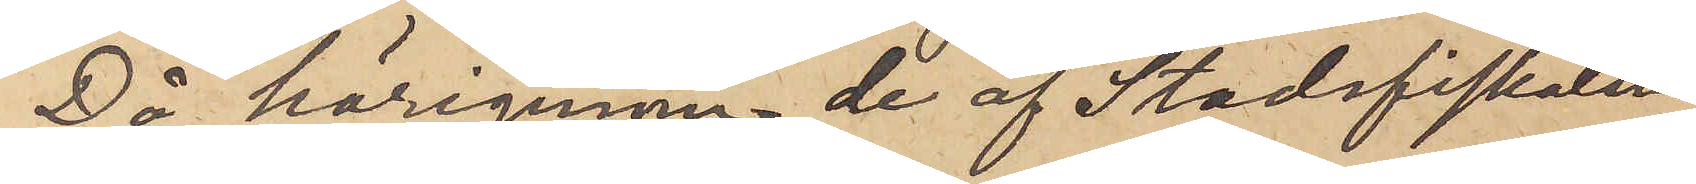Då härigenom de af Stadsfiskalen
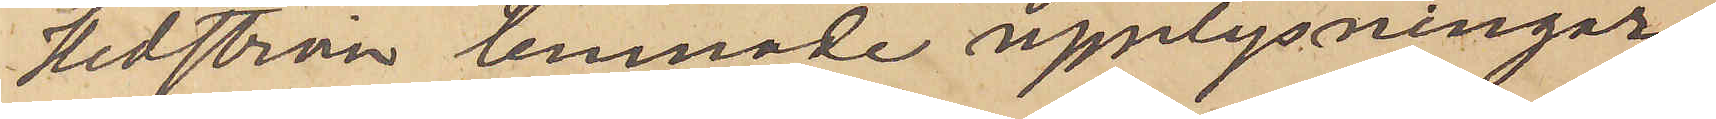Hedström lemnade upplysningar¬
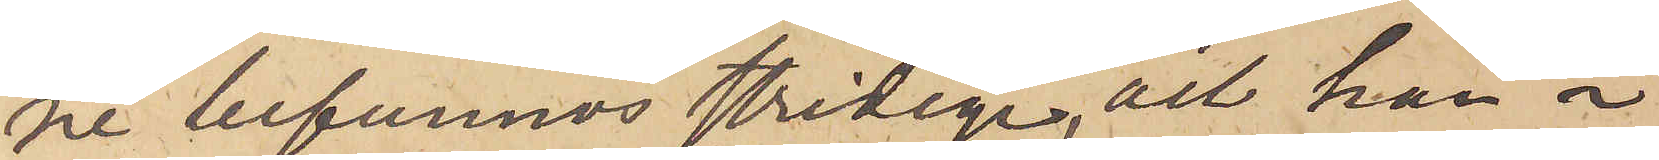ne befunnos stridige, att han å
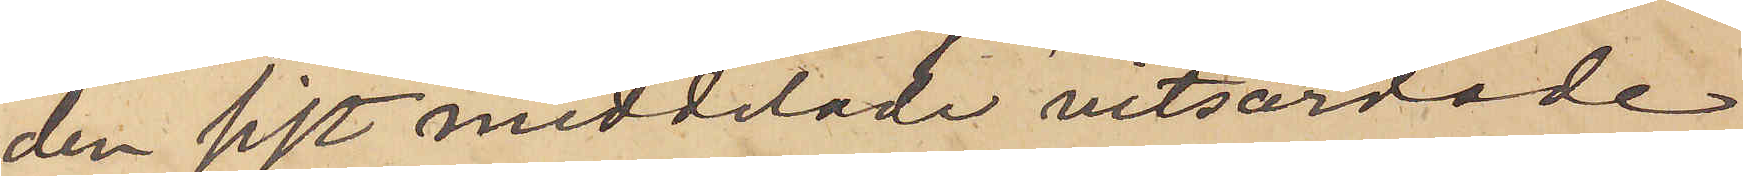den sist meddelade vitsordade
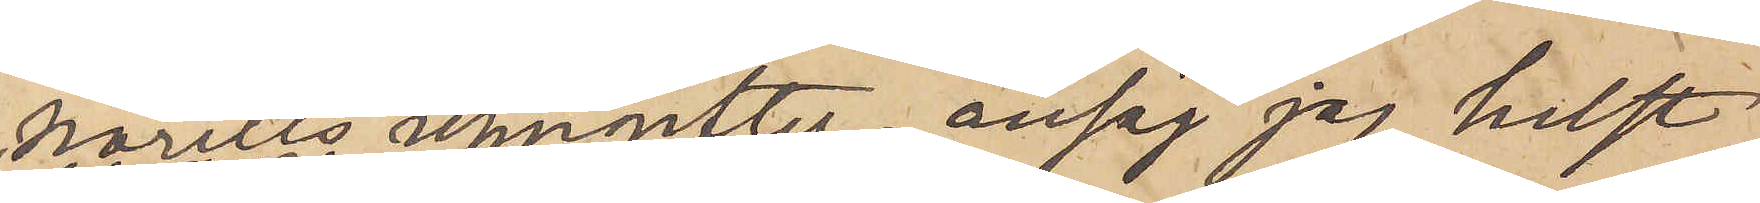Norells ungifter, ansåg jag, helst
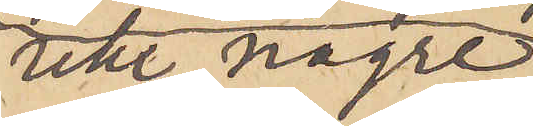icke någre
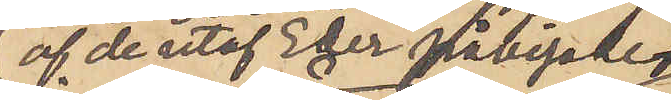af de utaf Eder påvisde
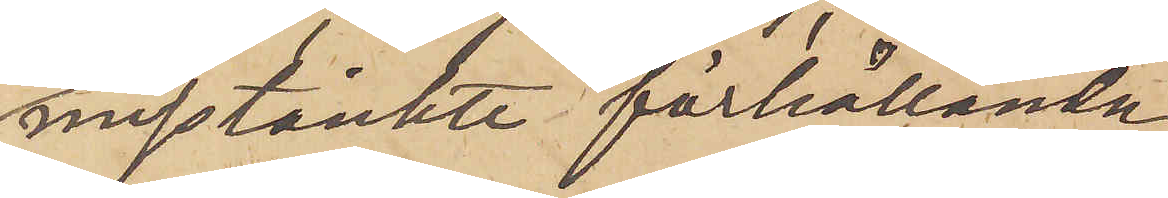misstänkte förhållanden
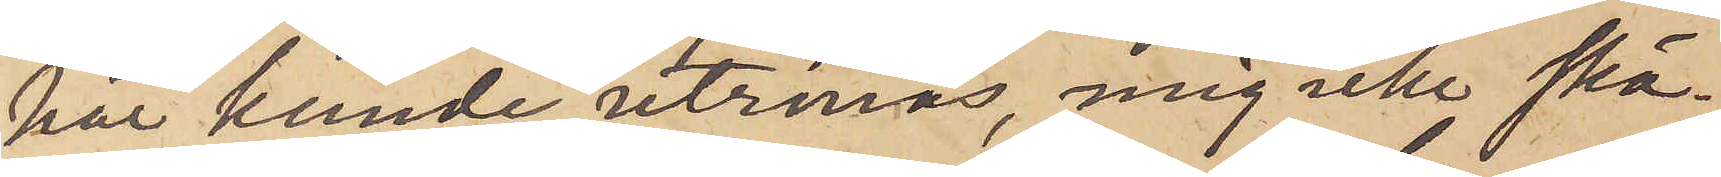här kunde utrönas, mig icke skä¬
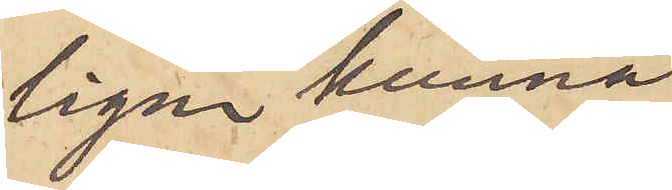ligen kunna
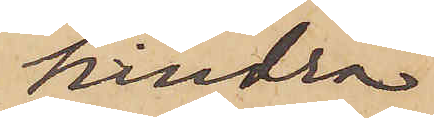hindra
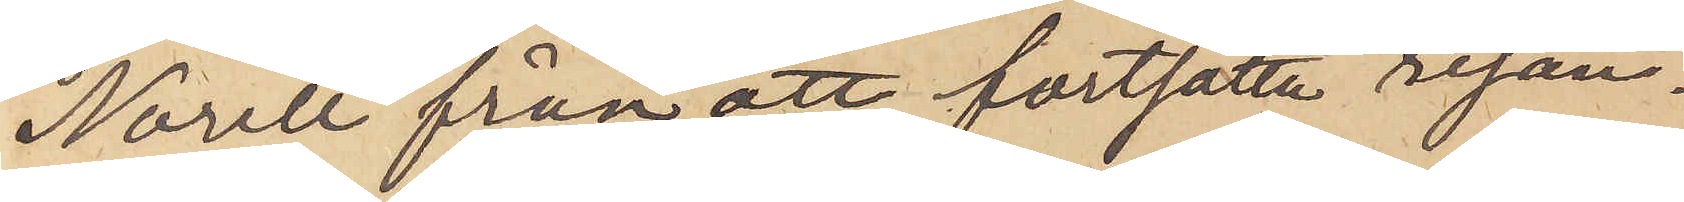Norell från att fortsatta resan.
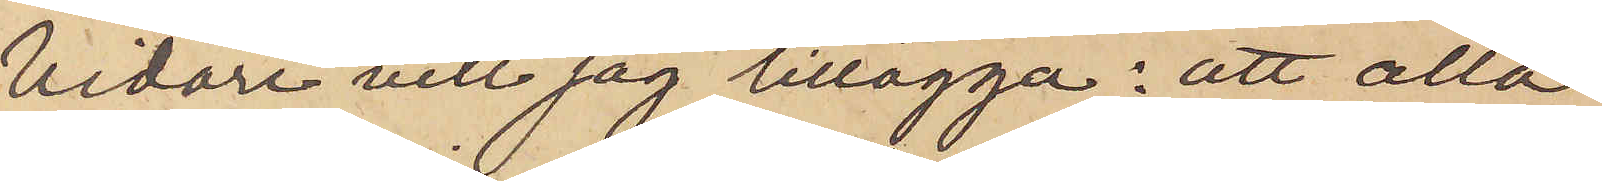Vidare vill jag tillägga: att alla
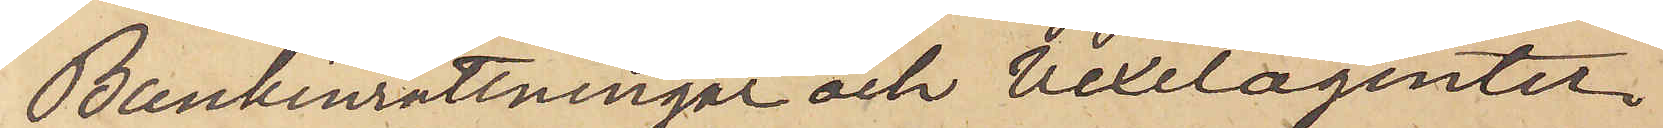Bankinrättningar och Vexelagenter
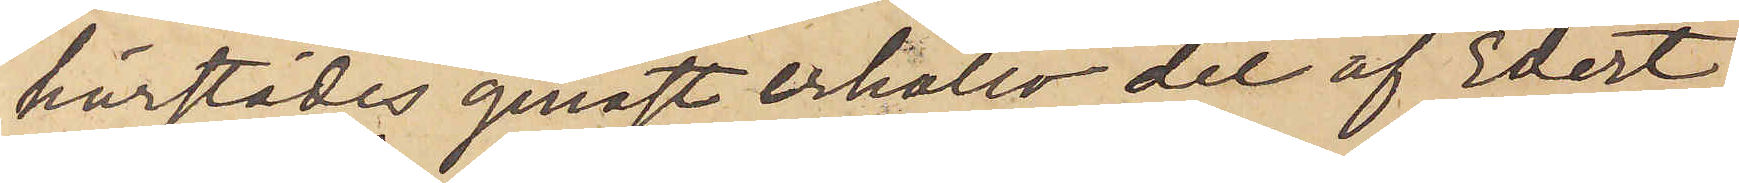härstädes genast erhöllo det af Edert
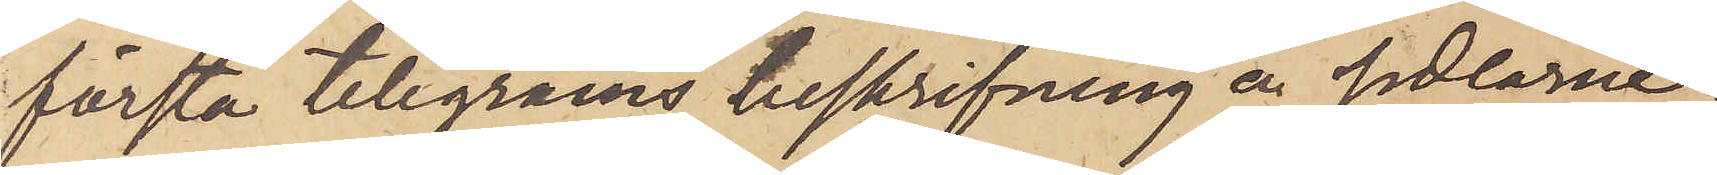första telegrams beskrifning å sedlarne;
